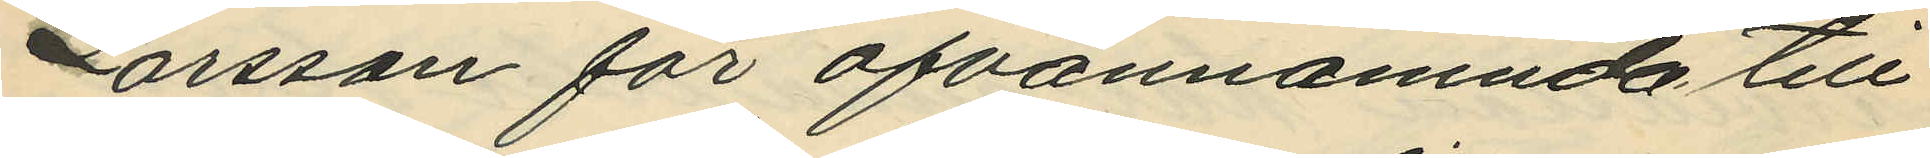Larsson för ofvannämnda till¬
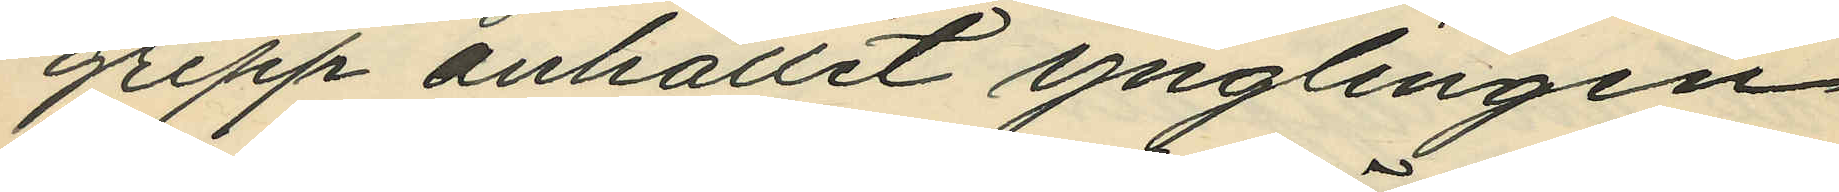grepp anhållit ynglingen
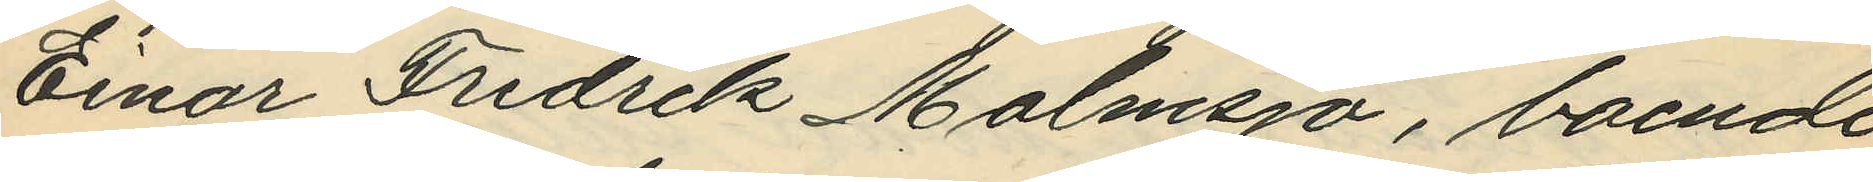Einar Fredrik Malmsjö, boende
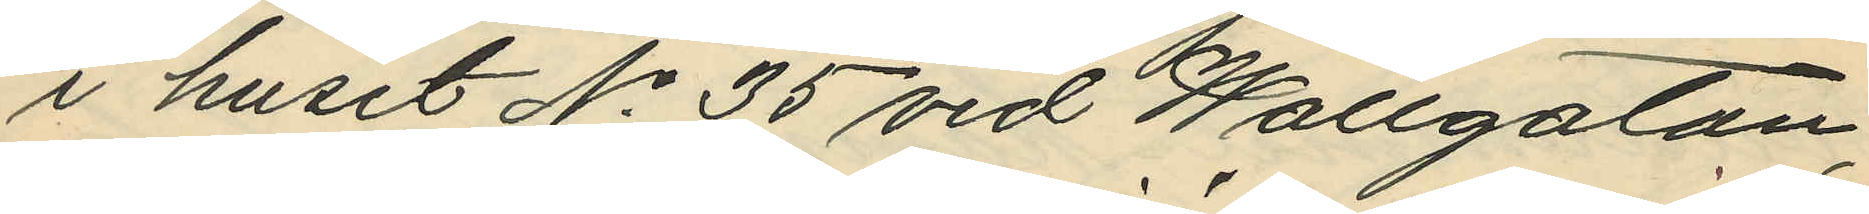i huset No 35 vid Wallgatan;
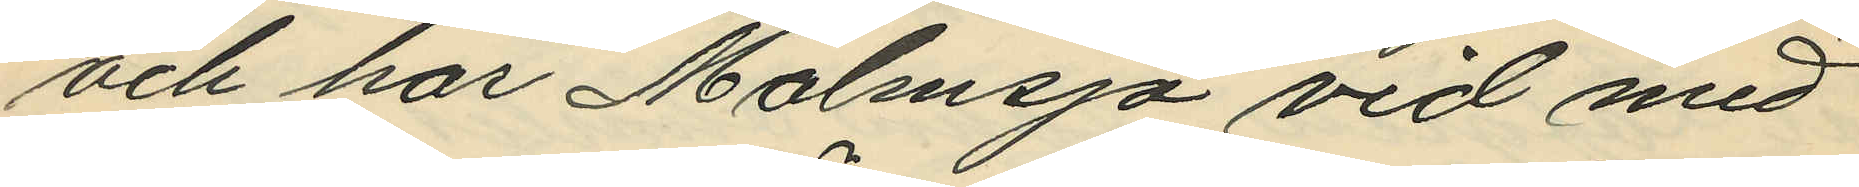och har Malmsjö vid med
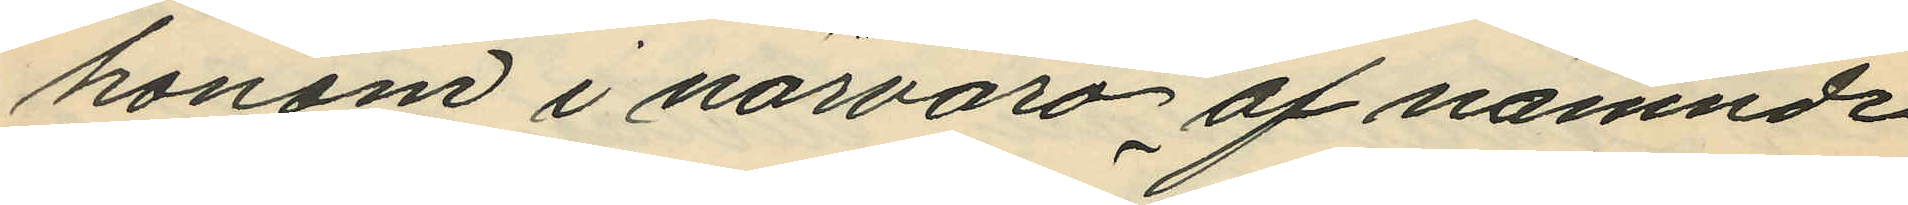honom i närvaro af nämnde
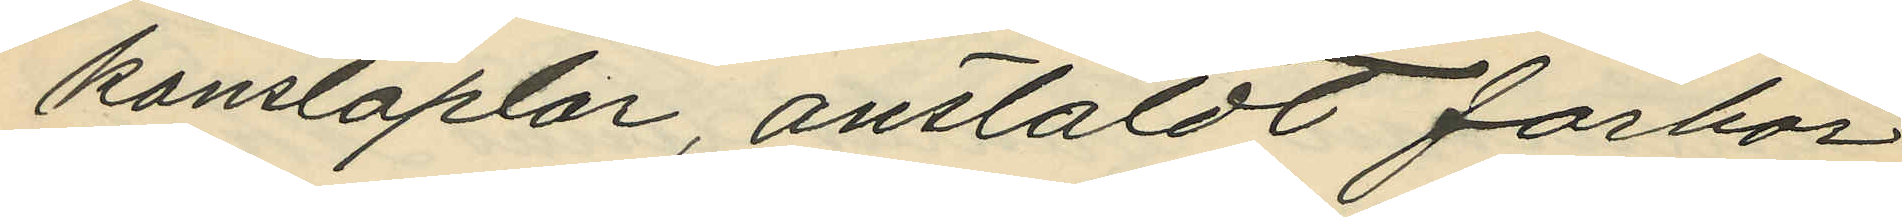konstaplar, anstäldt förhör
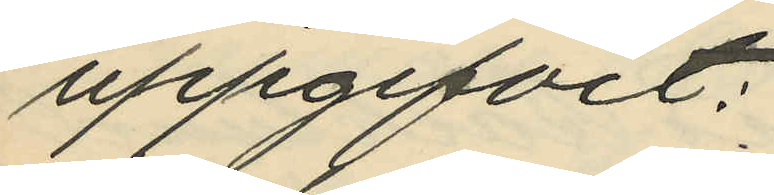uppgifvit:
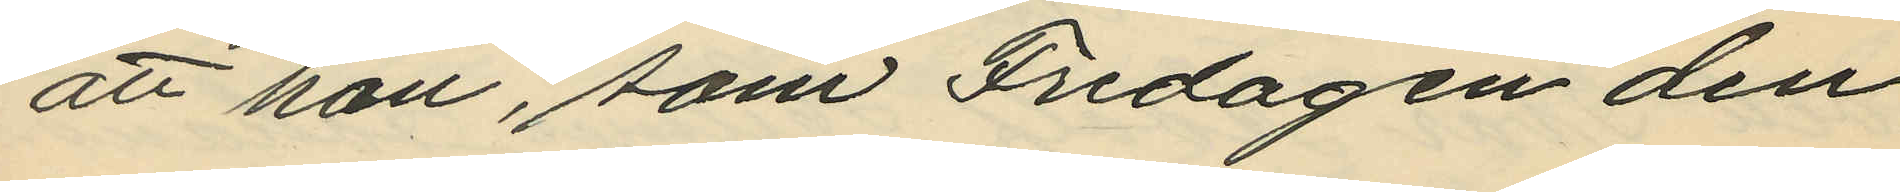att han, som Fredagen den
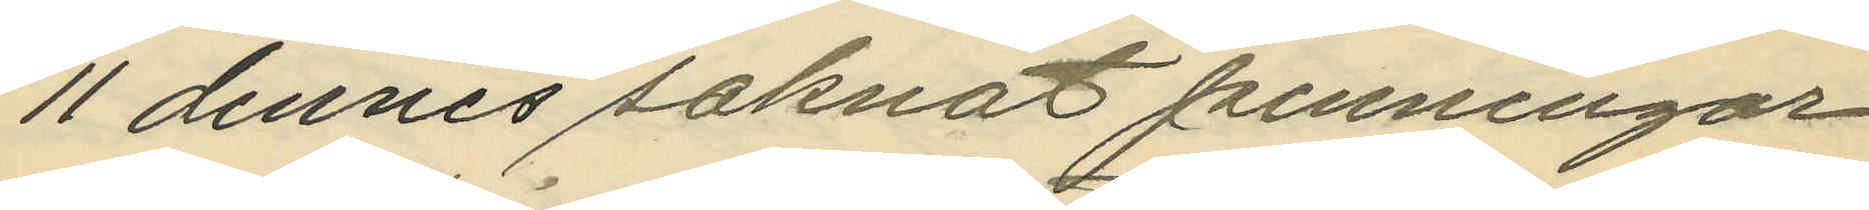11 dennes saknat penningar
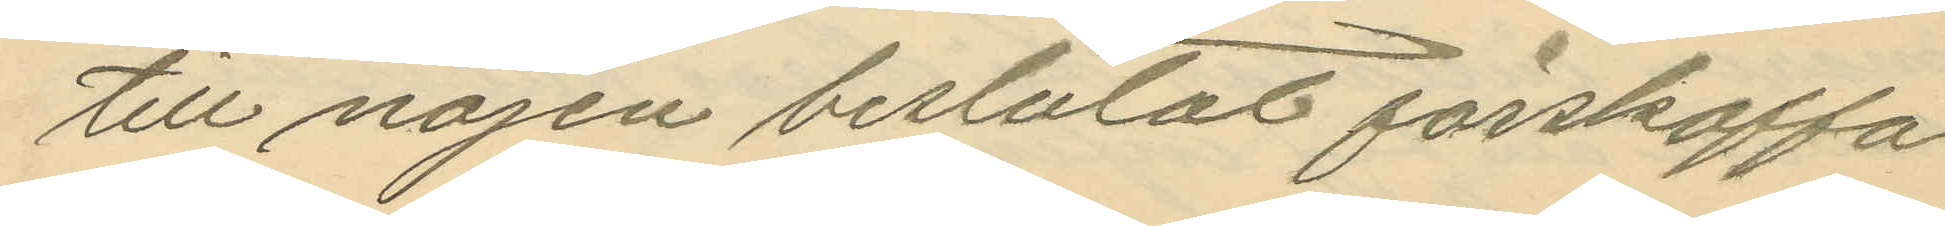till nöjen beslutat förskaffa
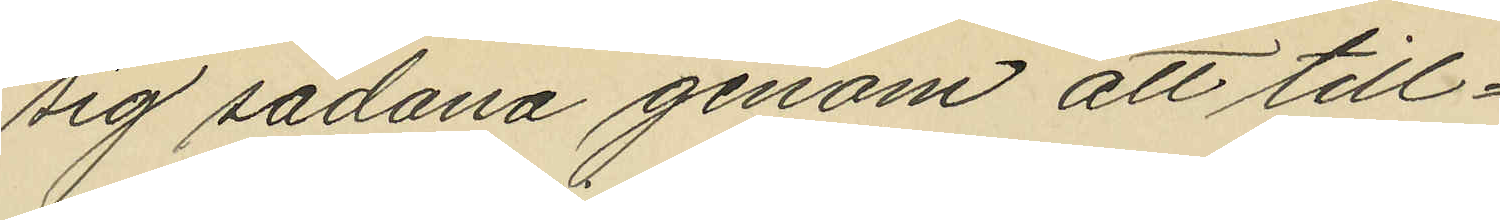sig sådana genom att till¬
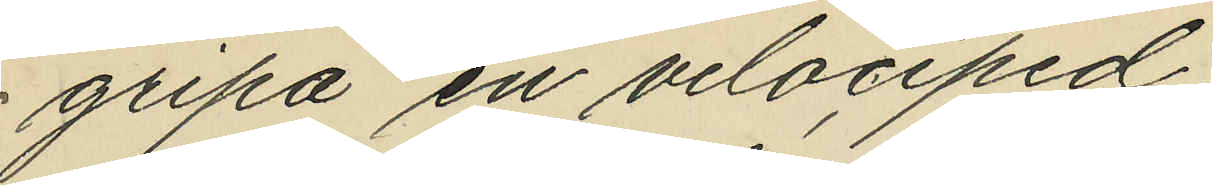gripa en velociped;
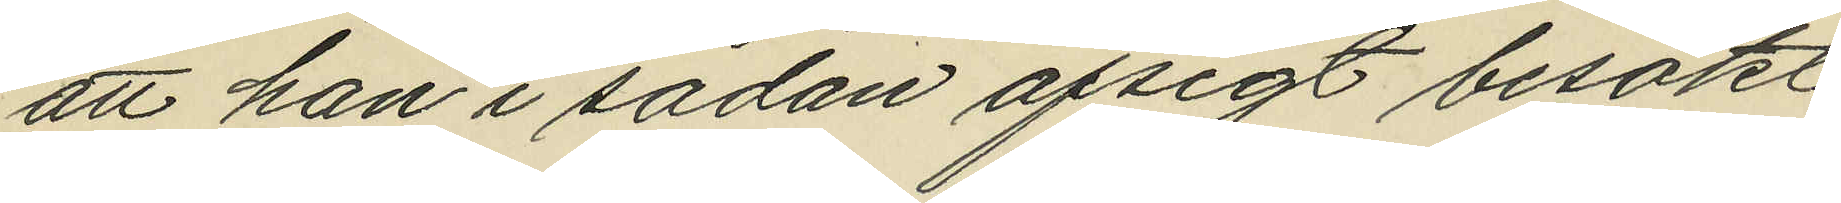att han i sådan afsigt besökt
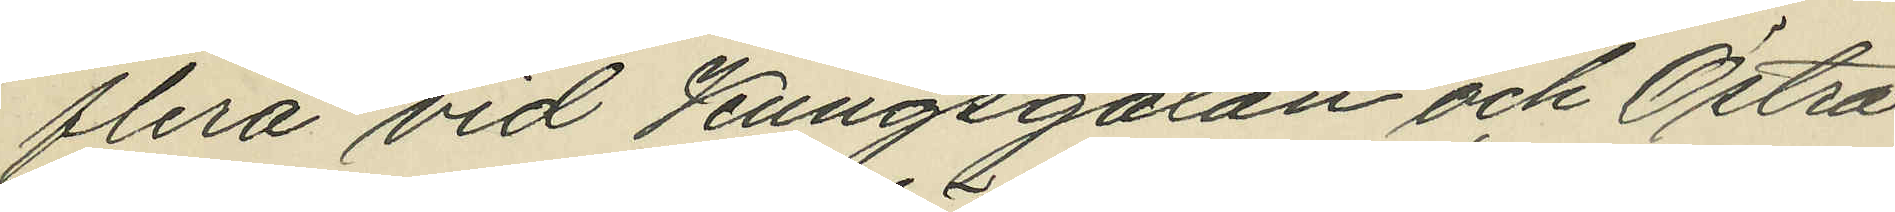flera vid Kungsgatan och Östra
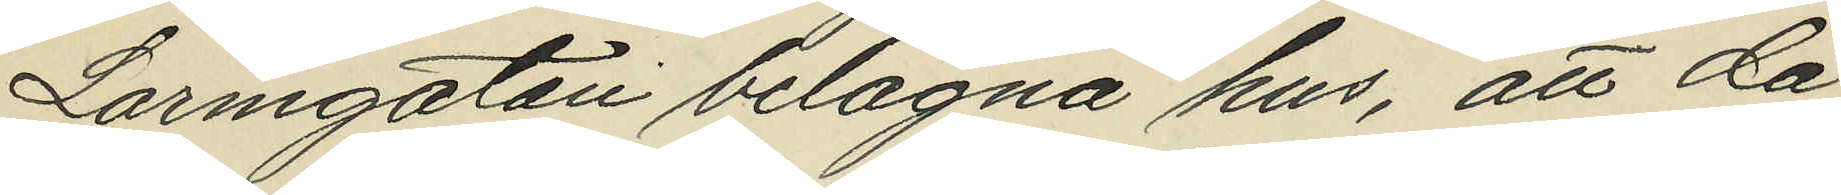Larmgatan belägna hus, att då
